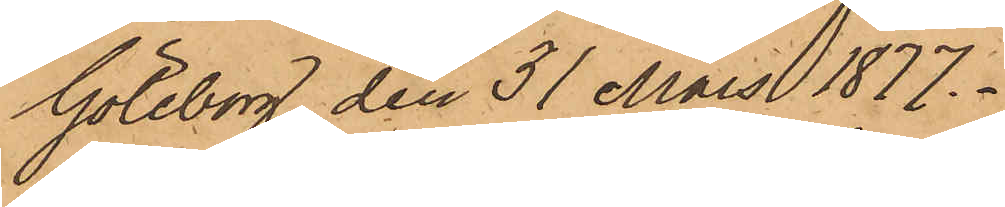Göteborg den 31 Mars 1877.
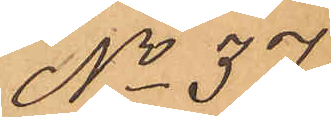No 37
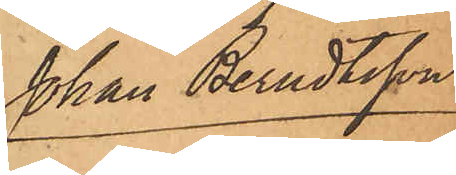Johan Berndtsson
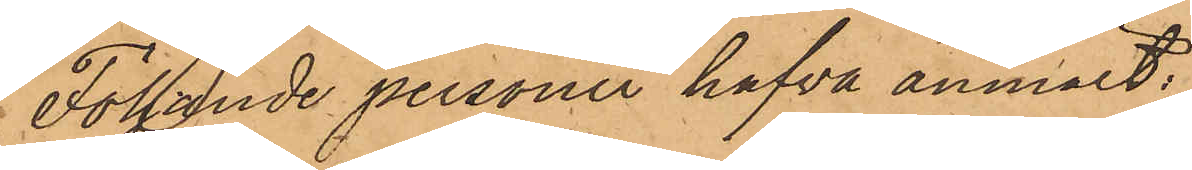Följande personer hafva anmält:
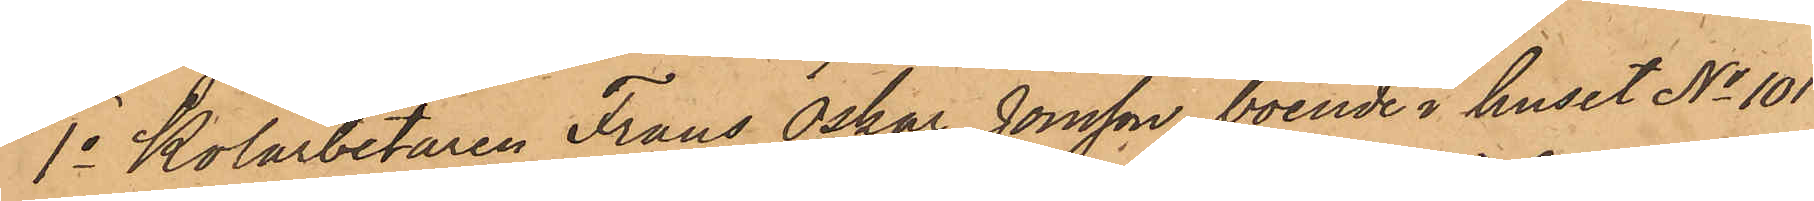1o Kolarbetaren Frans Oskar Jonsson, boende i huset No 101
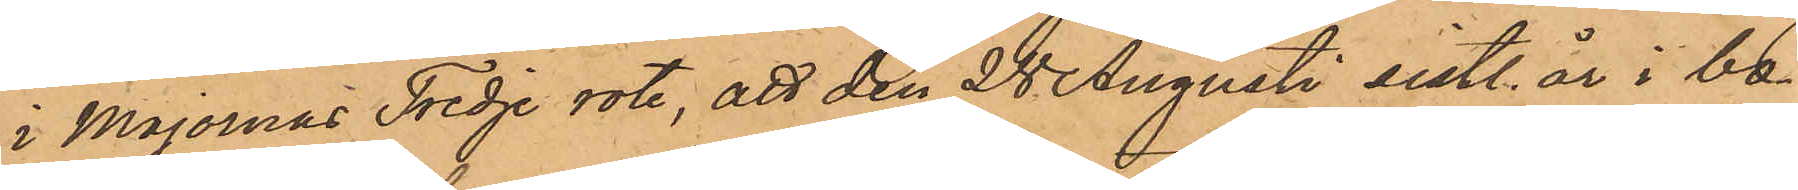i Majornas Tredje rote, att den 28 Augusti sistl. år i bo¬
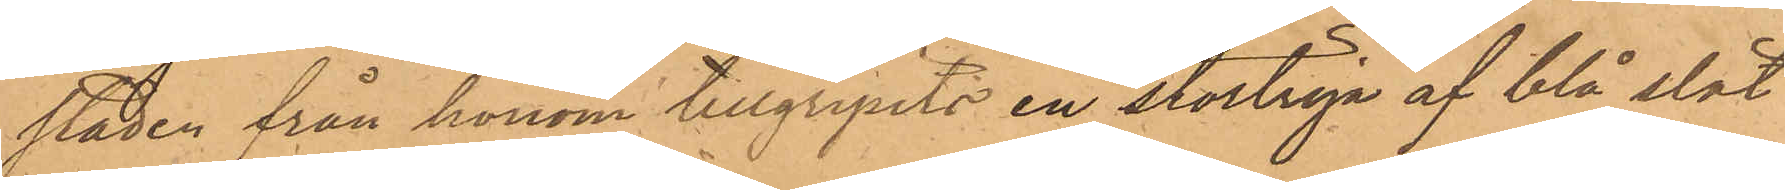staden från honom tillgripits en stortröja af blå slät
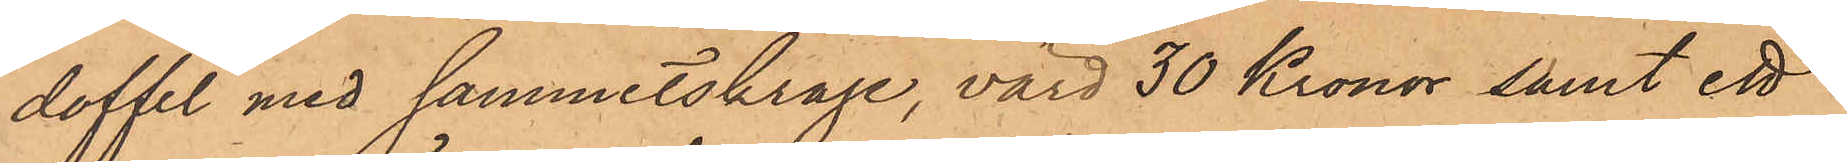doffel med sammetskrage, värd 30 Kronor, samt ett
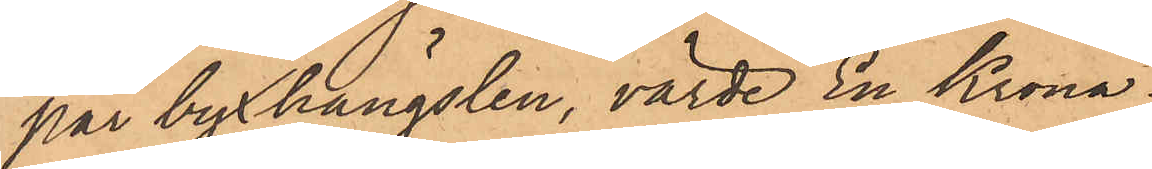par byxhängslen, värde En Krona;
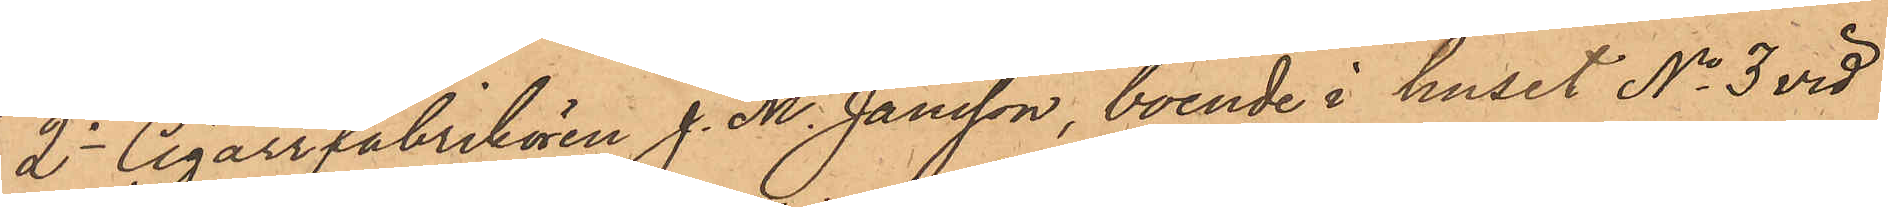2o Cigarrfabrikören J. M. Jansson, boende i huset No 3 vid
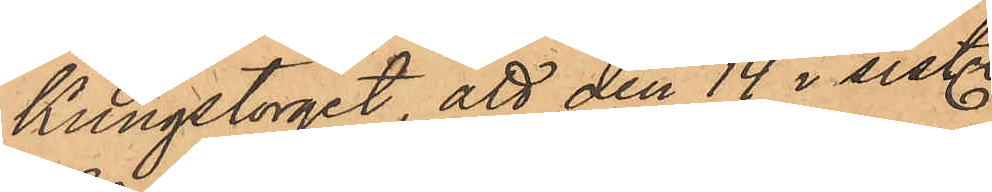Kungstorget, att den 14 i sist.
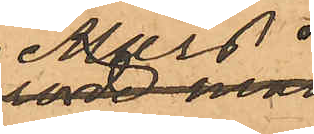Mars 
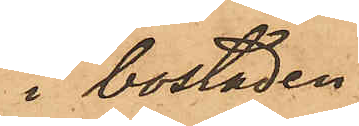i bostaden
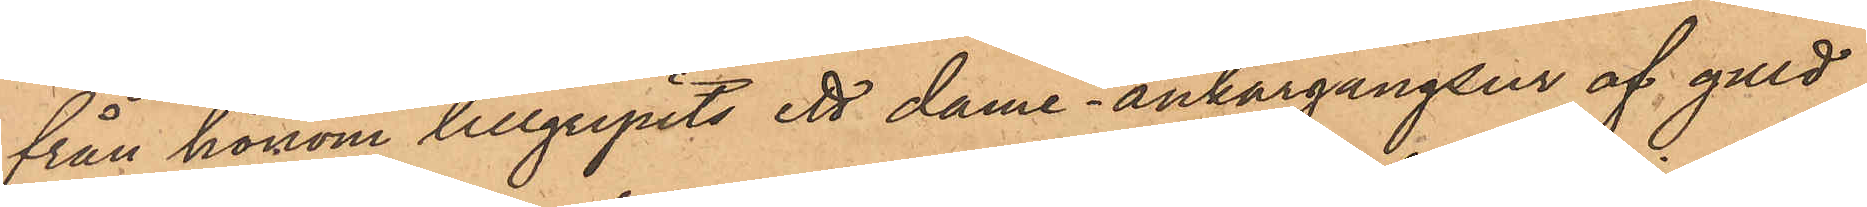från honom tillgripits ett dame - ankargångsur af guld
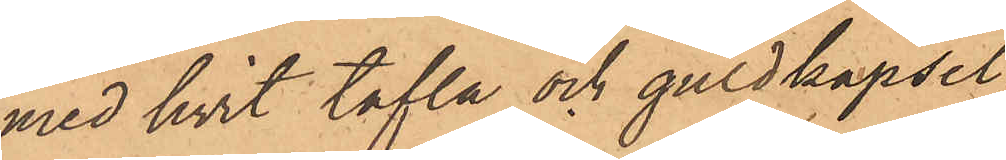med hvit tafla och guldkapsel
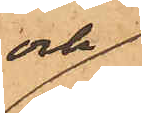och
